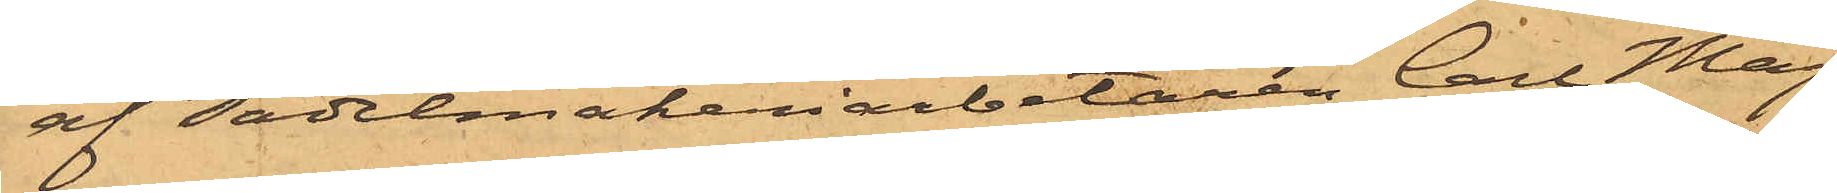af Sadelmakeriarbetaren Carl Mag¬
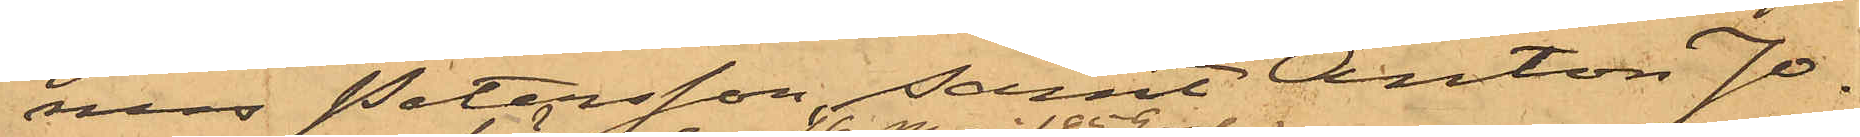nus Petersson samt Anton Jo¬
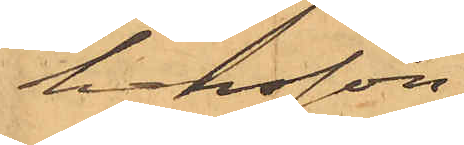hansson
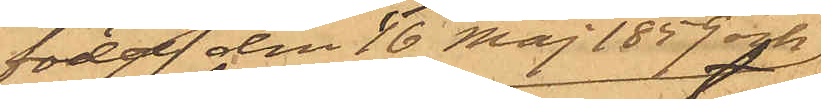född den 16 Maj 1859 och
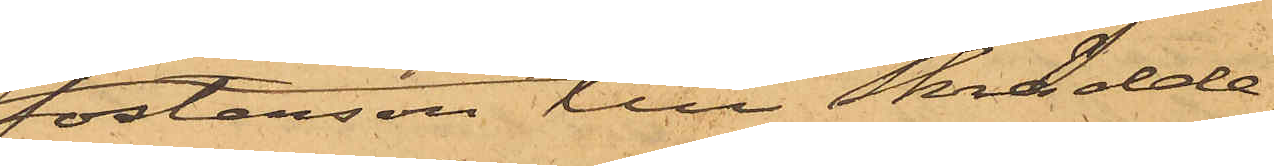fosterson till Skrädde¬
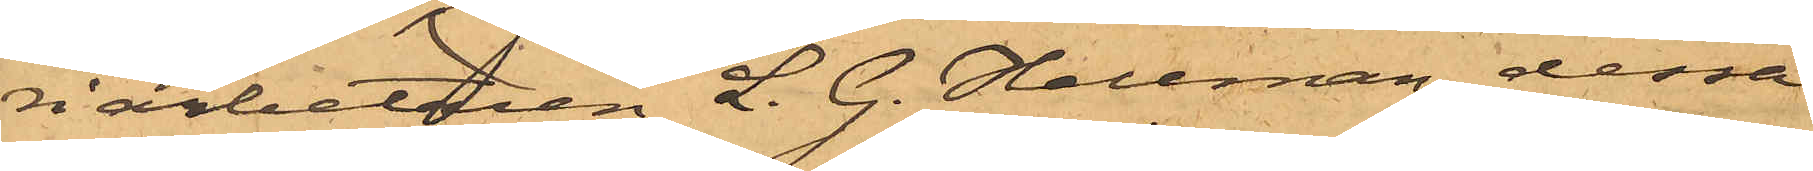riarbetaren L. G. Hellman, dessa
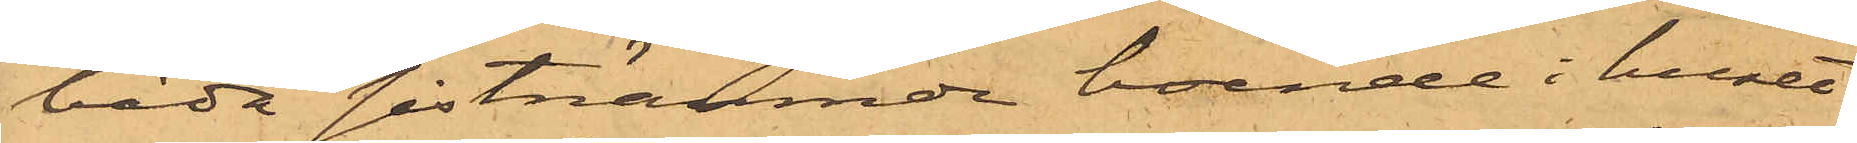båda sistnämnde boende i huset
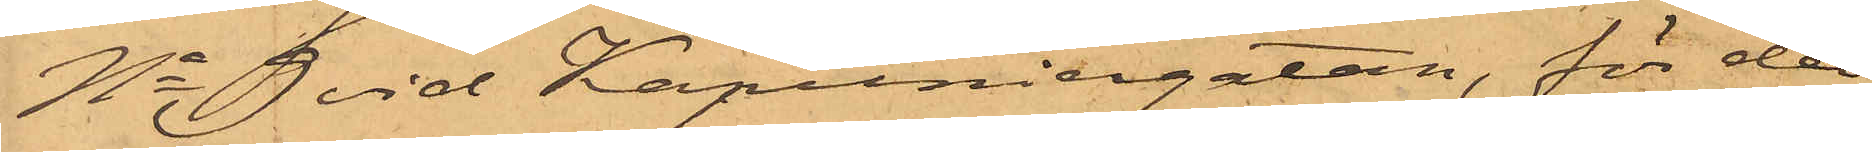No 9 vid Kapuniergatan, för det
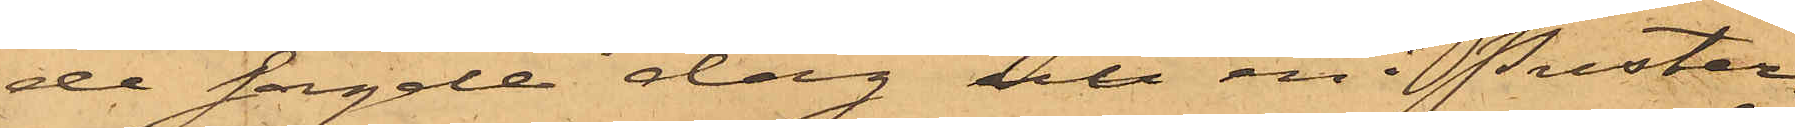de sagde dag uti en i Puster¬
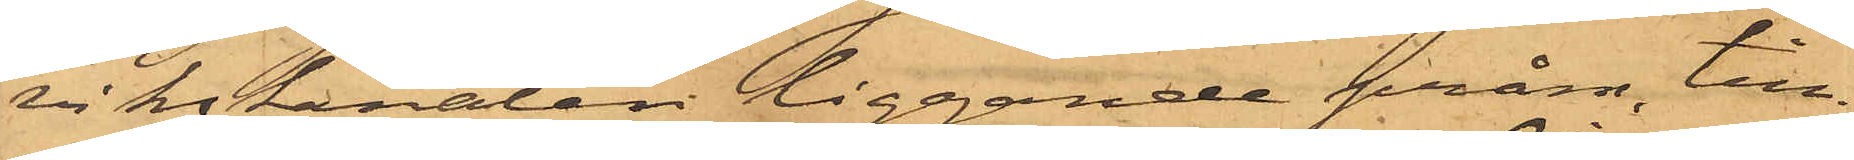vikskanalen liggande pråm, till¬
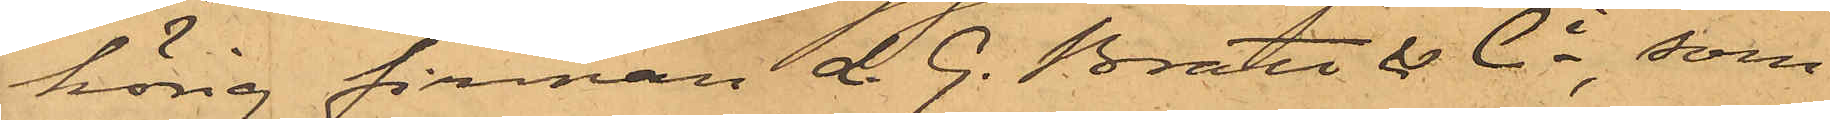hörig firman L. G. Bratt & Ci, som
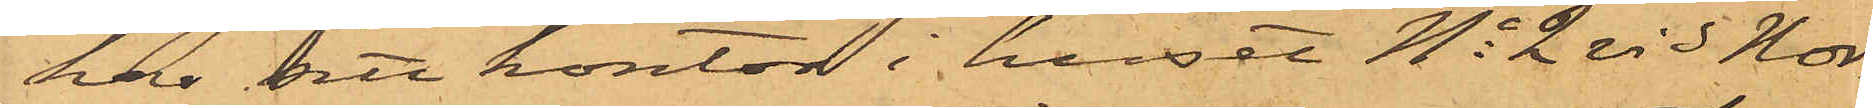har sitt kontor i huset No 2 vid Nor¬
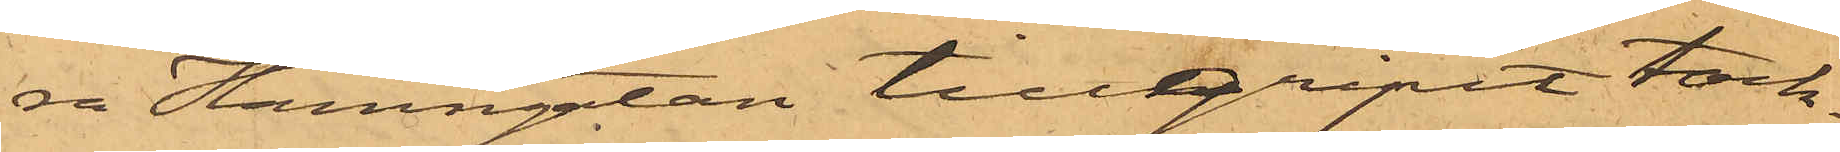ra Hamngatan tillgripit tack¬
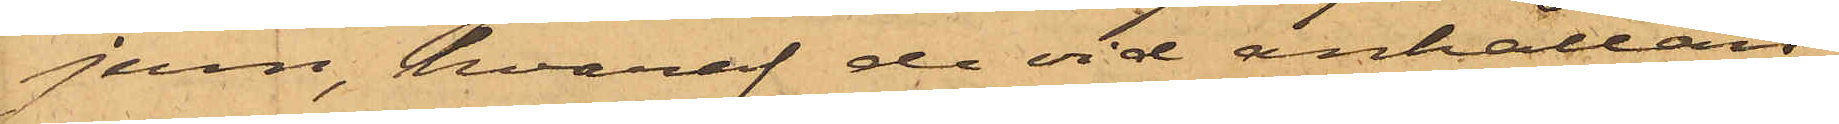jern, hvaraf de vid anhållan¬
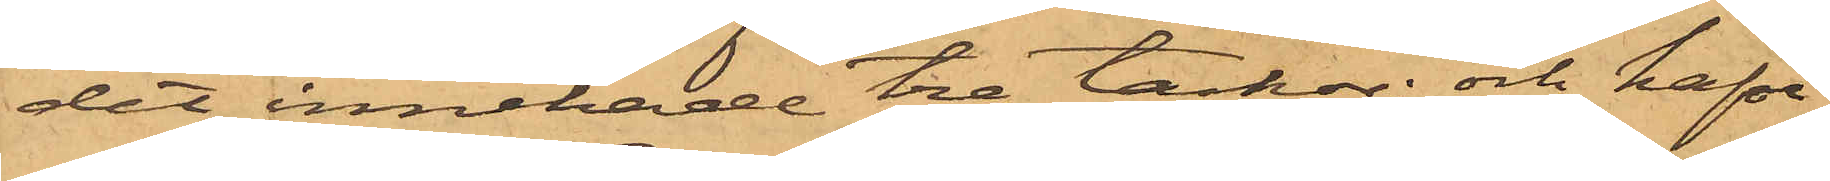det innehade tre tackor; och hafva
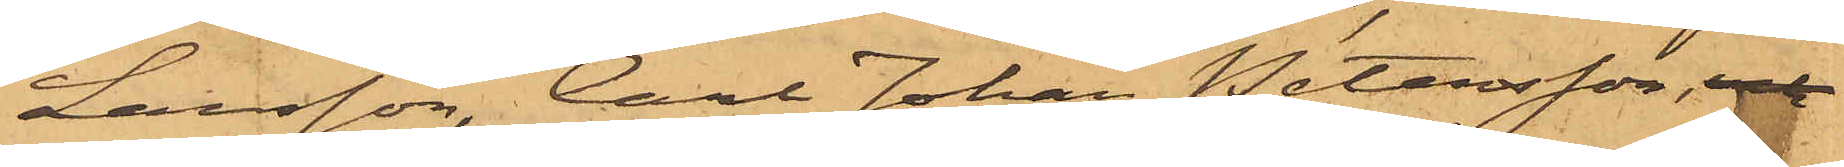Larsson, Carl Johan Petersson, och
